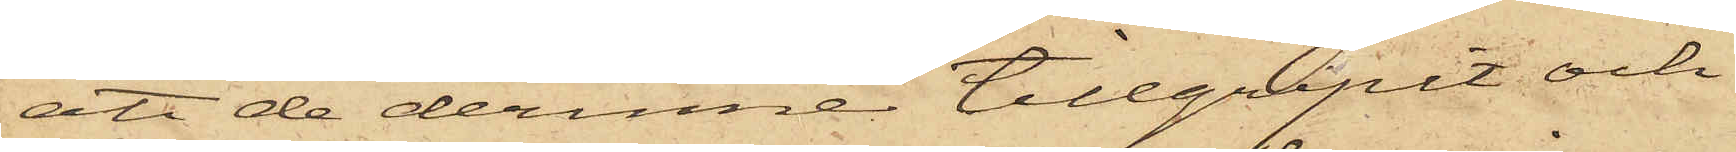att de derinne tillgripit och
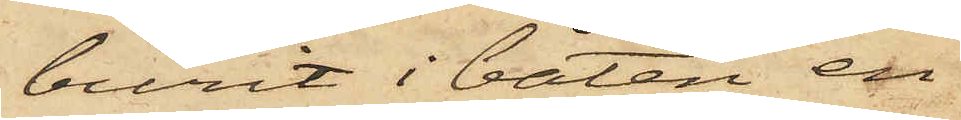burit i båten en
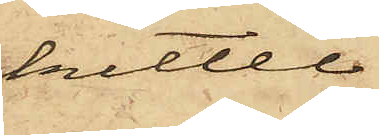kittel
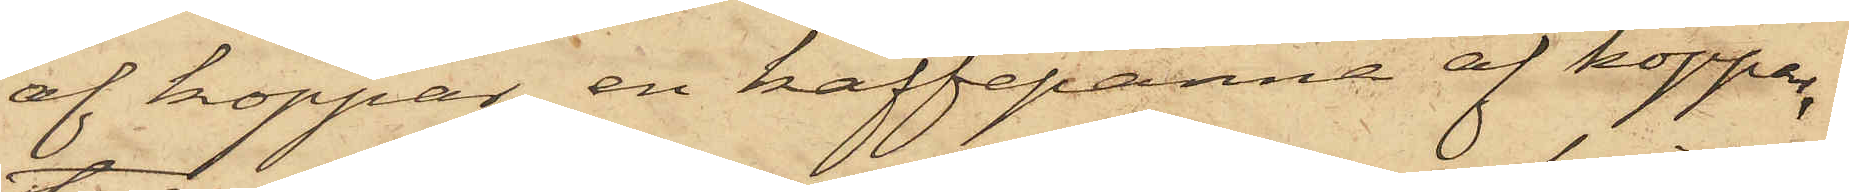af koppar, en kaffepanna af koppar,
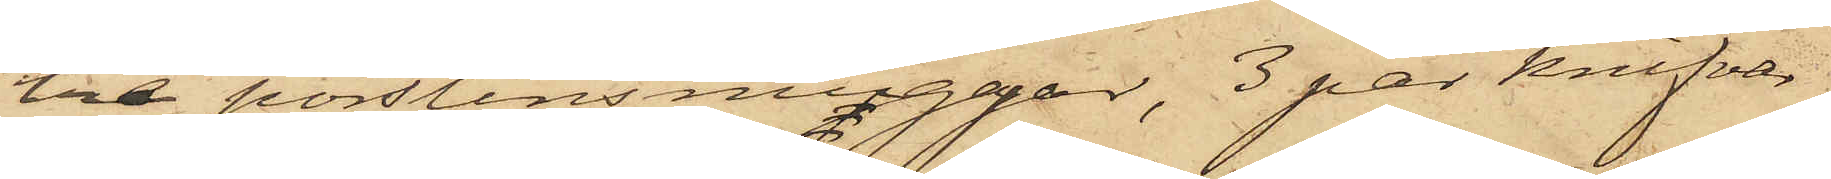tre porslinsmuggar, 3 par knifvar
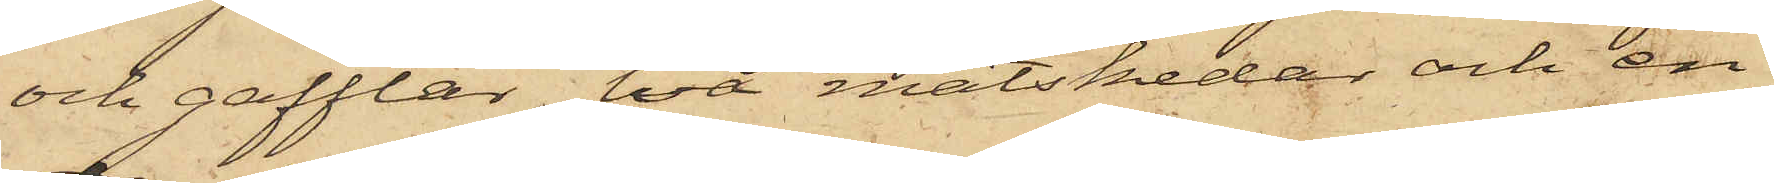och gafflar, två matskedar och en
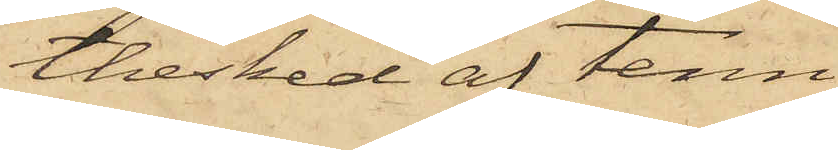thesked af tenn,
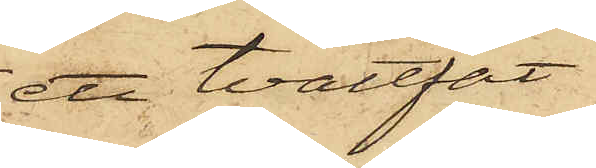ett tvättfat
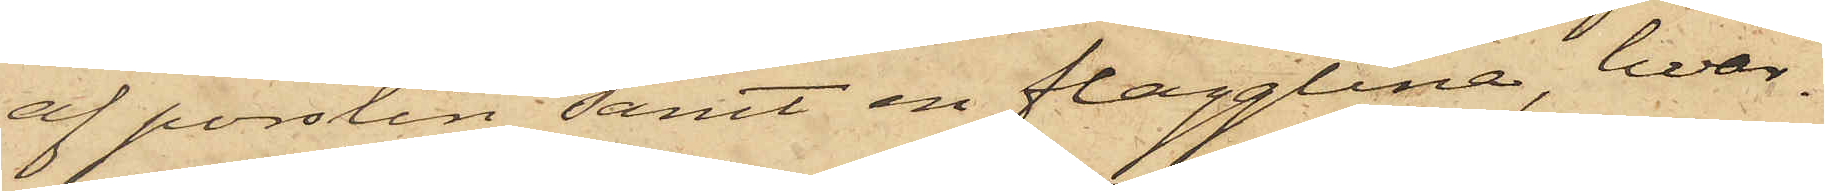af porslin samt en flagglina, hvar¬
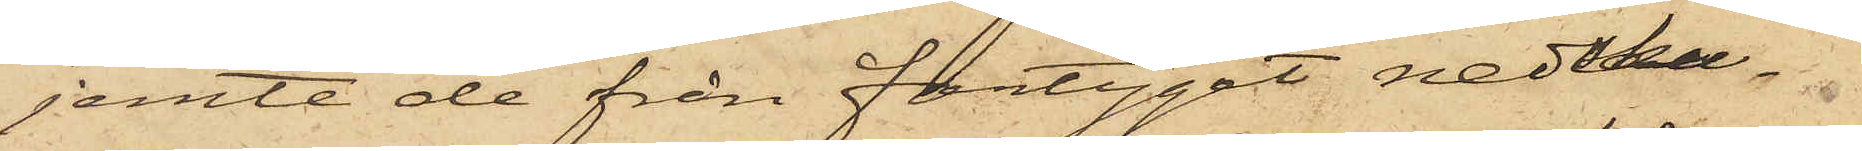jemte de från fartyget nedbu¬
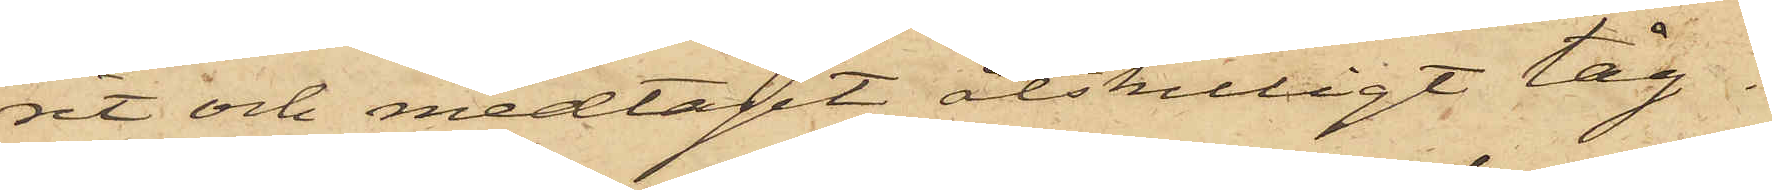rit och medtagit åtskilligt tåg¬
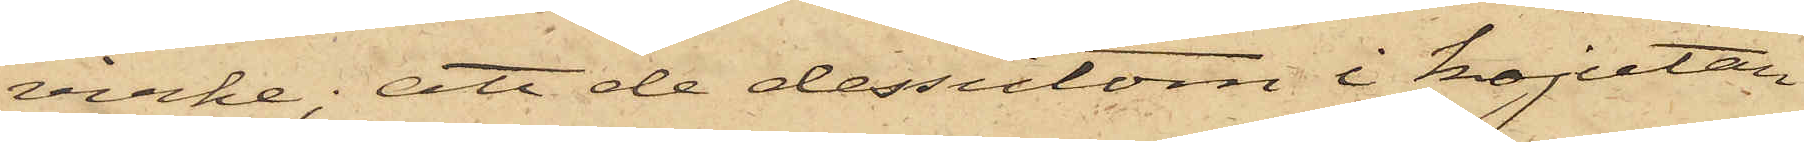virke; att de dessutom i kajutan
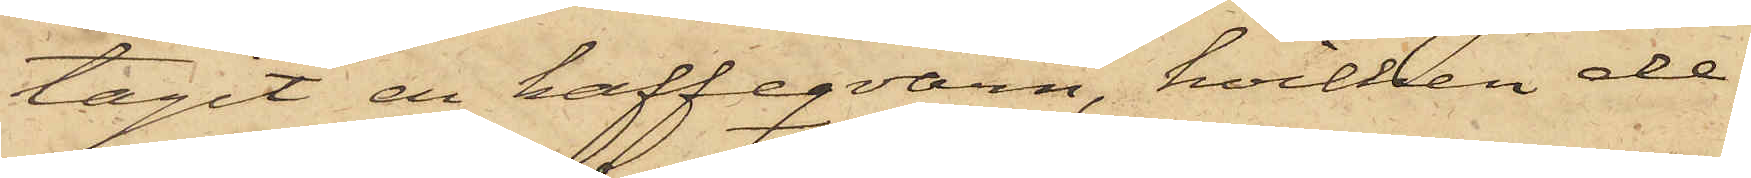tagit en kaffeqvarn, hvilken de,
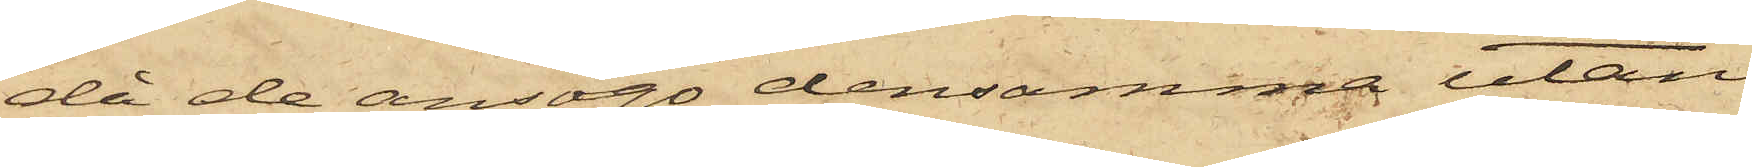då de ansågo densamma utan
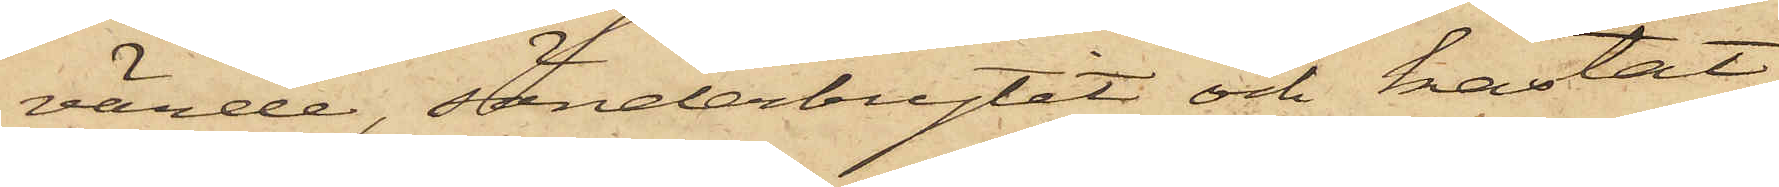värde, sönderbrytit och kastat
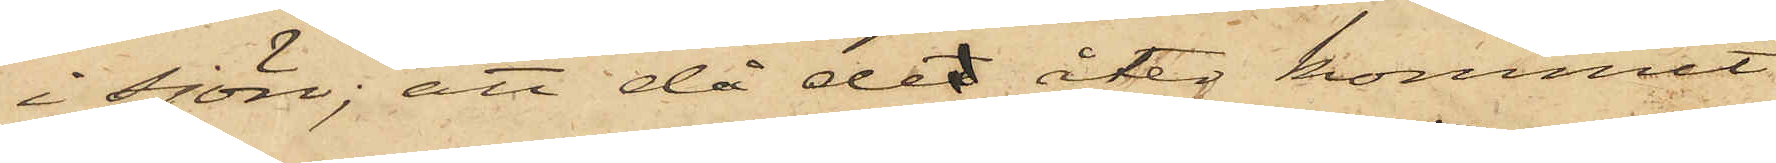i sjön; att då det åter kommit
